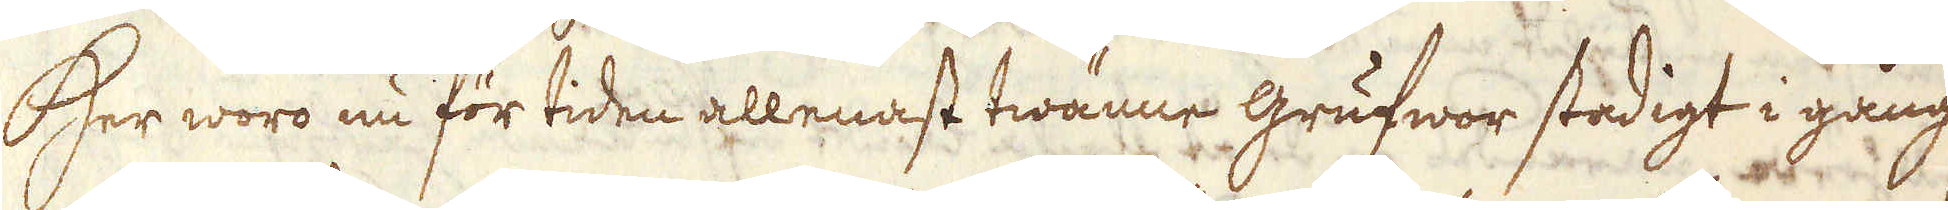Her woro nu för tiden allenast twänne grufwor stadigt i gång
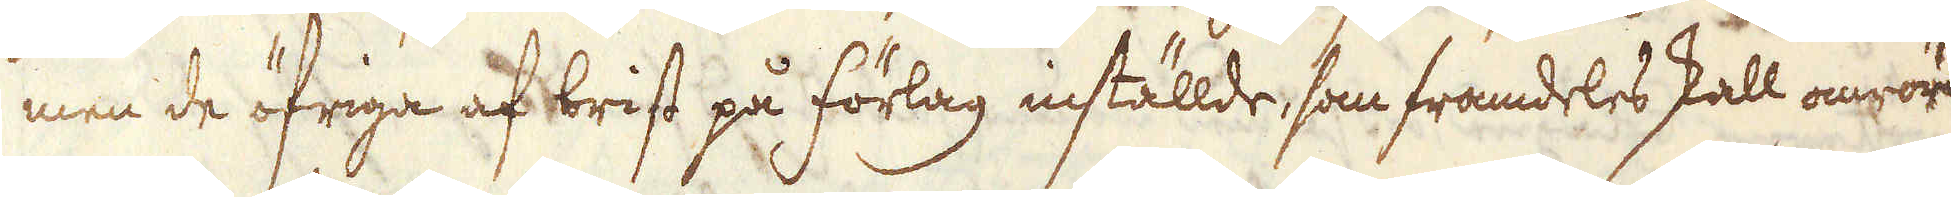men de öfriga af brist på förlag inställde, som framdeles skall omröras
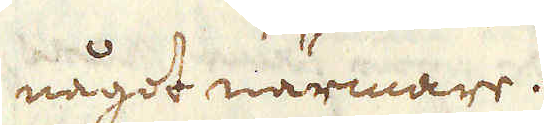något närmare.
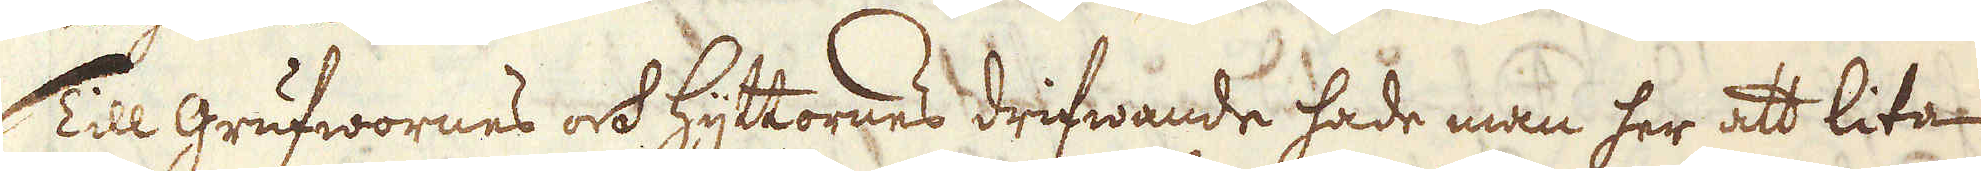Till grufwornes ock hyttornes drifwande hade man her att lita
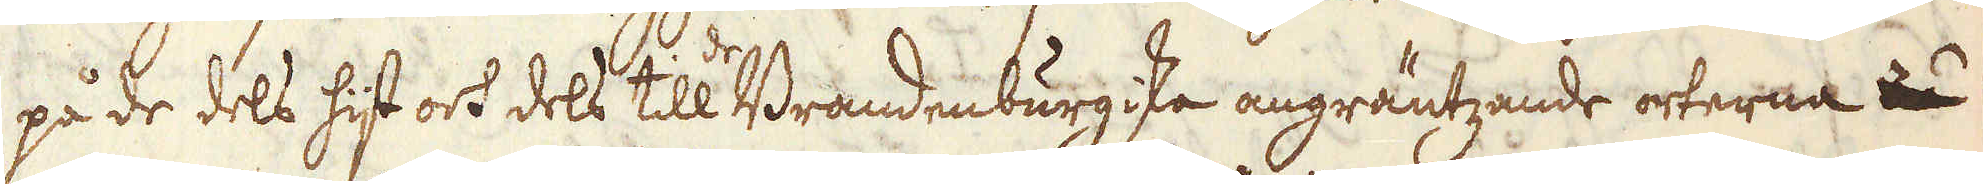på de dels hijt och dels till de Brandenburgiska angräntzande orterna
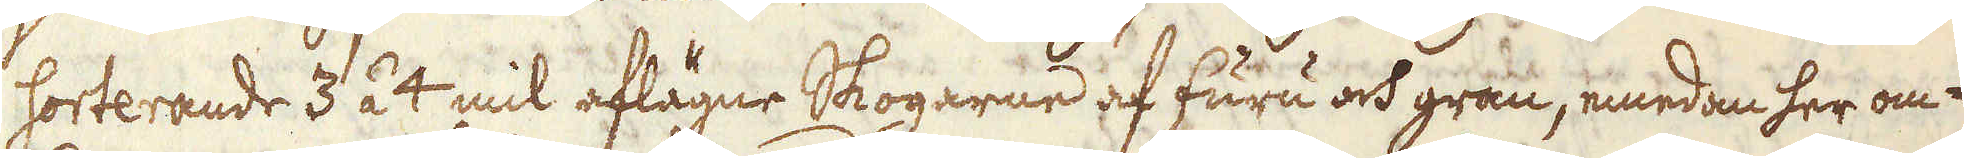sorterande 3 á 4 mil aflägne Skogarne af furu och gran, emedan her om-
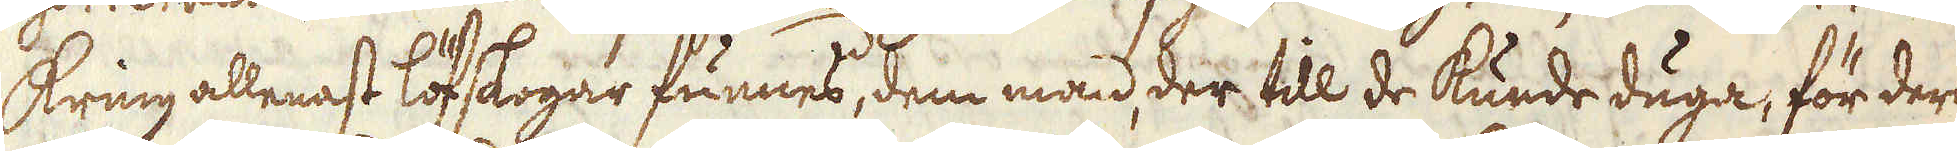kring allenast löfskogar funnes, dem man der till de kunde duga, för deras
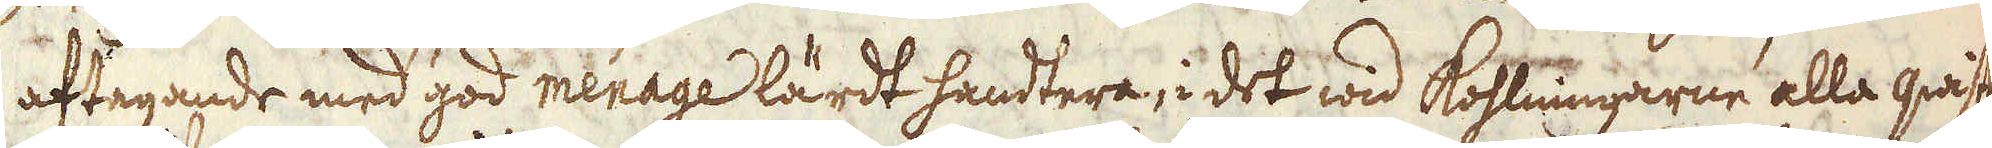aftagande med god menage lärdt handtera, i det wid kohlningarne alla qwist
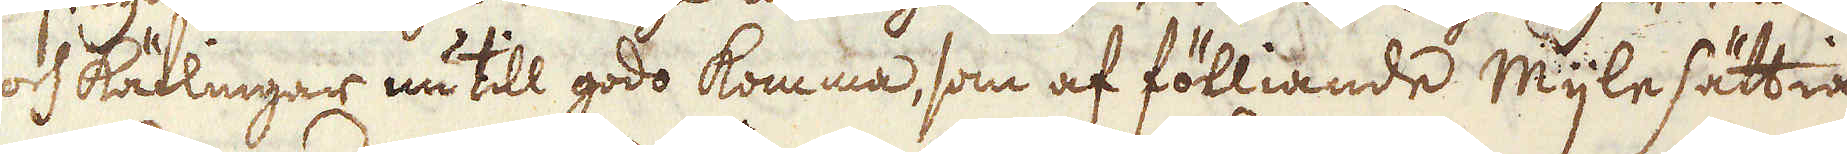och Rätlingar nu till godo komma, som af fölliande Mijle sättiande
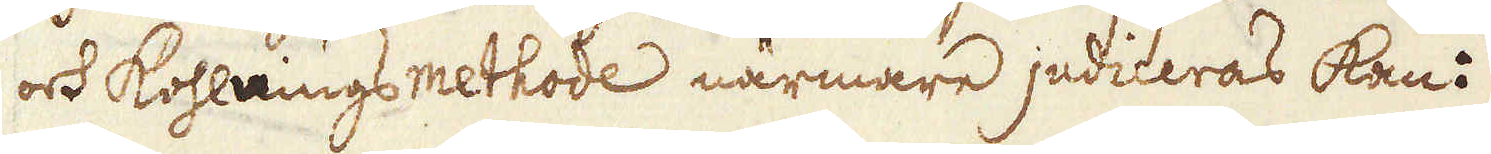och Kohlnings methode närmare judiceras kan:
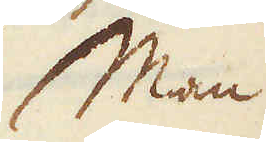Man
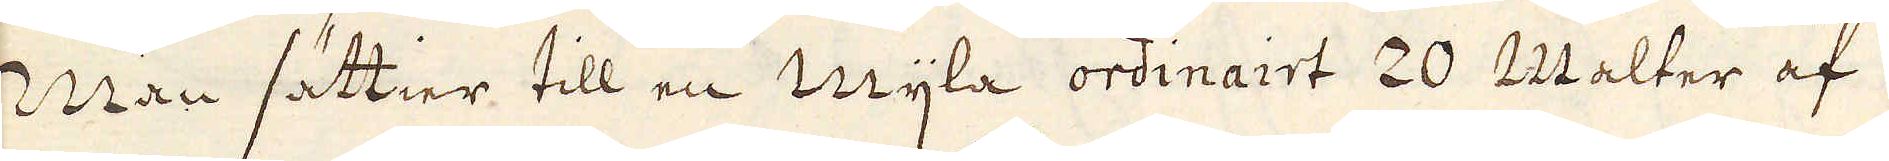Man sättier till en mijla ordinairt 20 Malter af
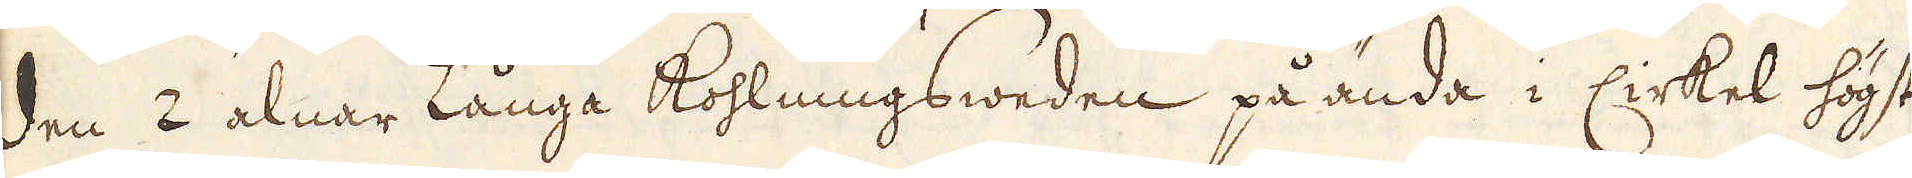den 2 alnar Långa Kohlningsweden på ända i Cirkel högst
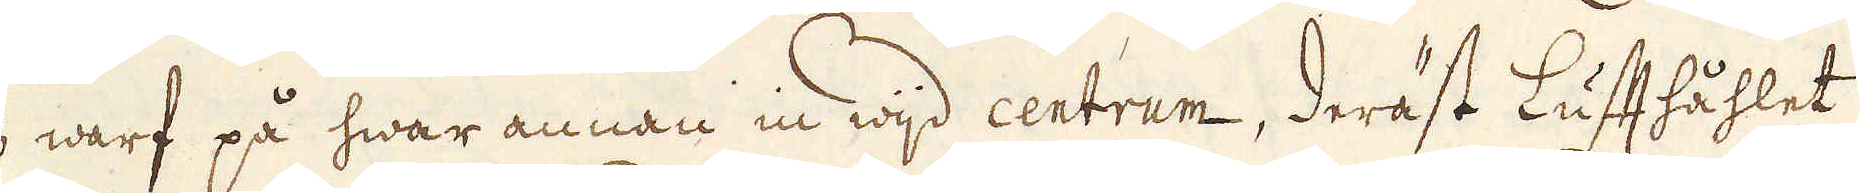3 warf på hwar annan in wijd centrum, deräst Lufthåhlet
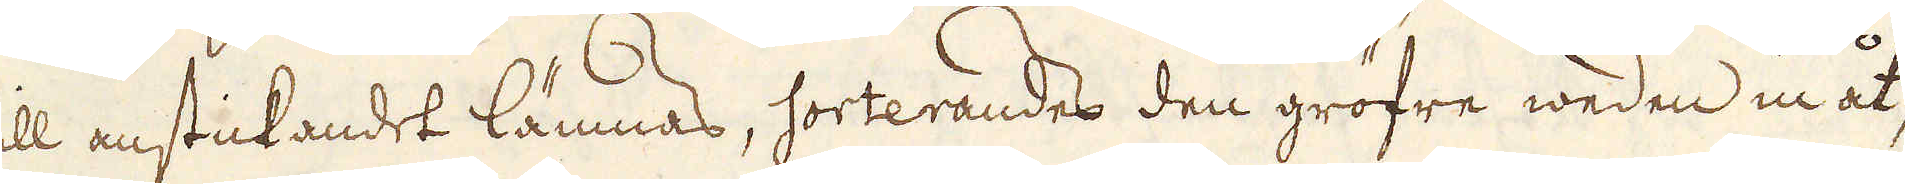till anstickandet lämnas, sorterandes den gröfre weden in åt,
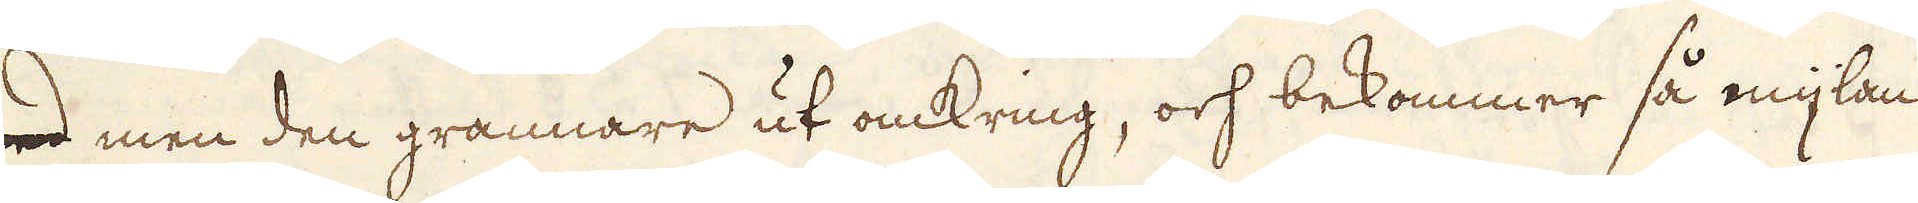med men den grannare ut omkring, och bekommer så mijlan
